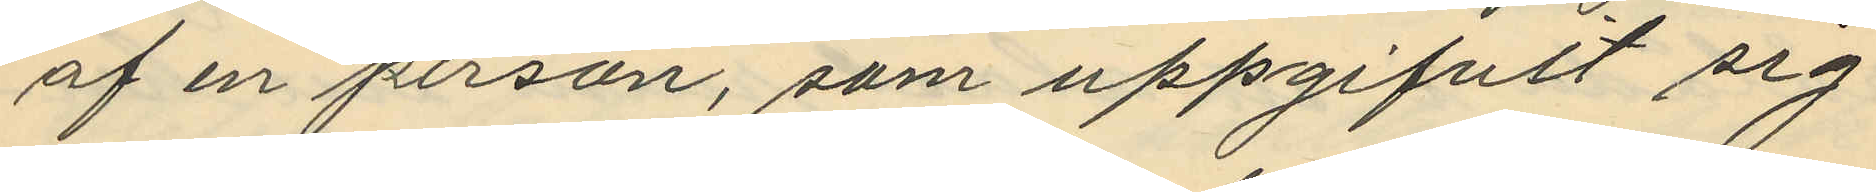af en person, som uppgifvit sig
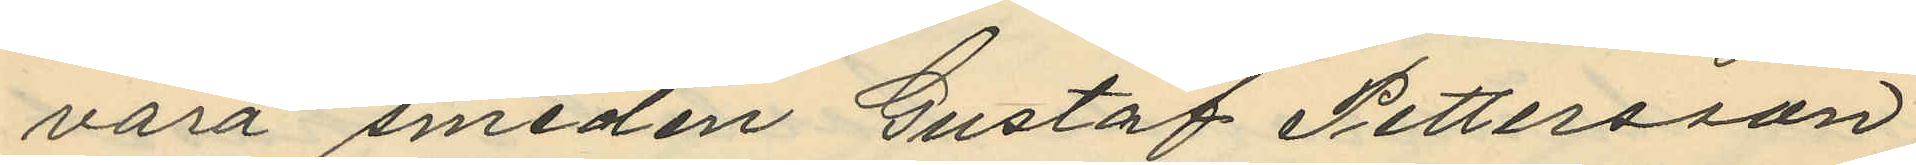vara smeden Gustaf Pettersson
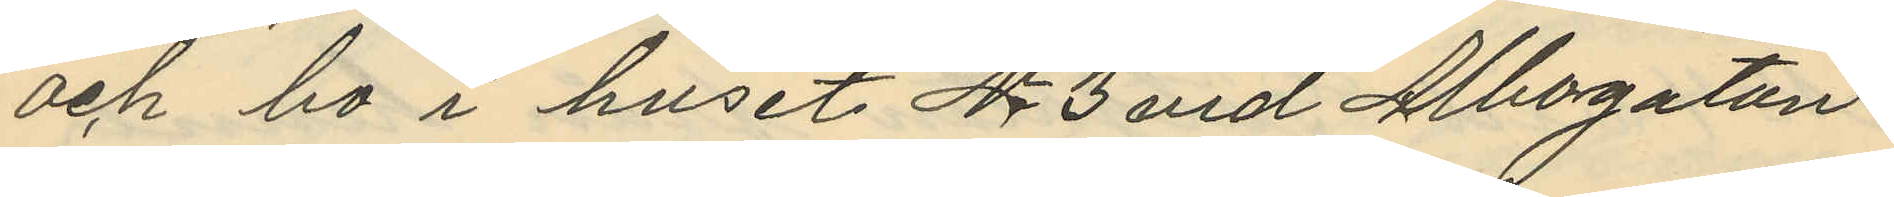och bo i huset No 3 vid Albogatan.
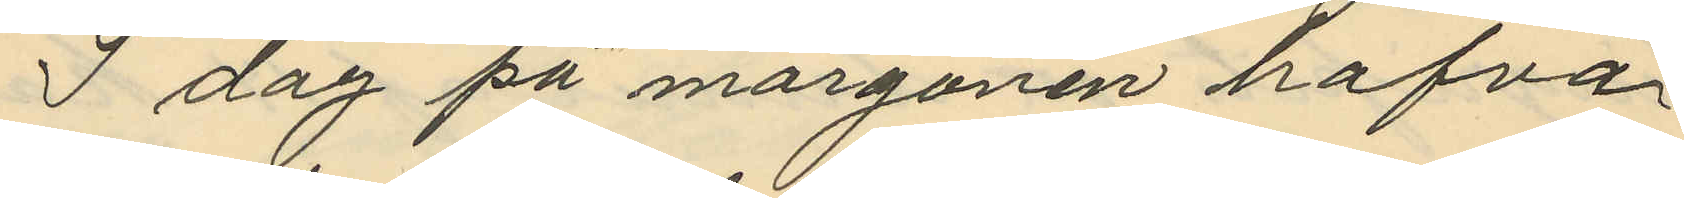I dag på morgonen hafva
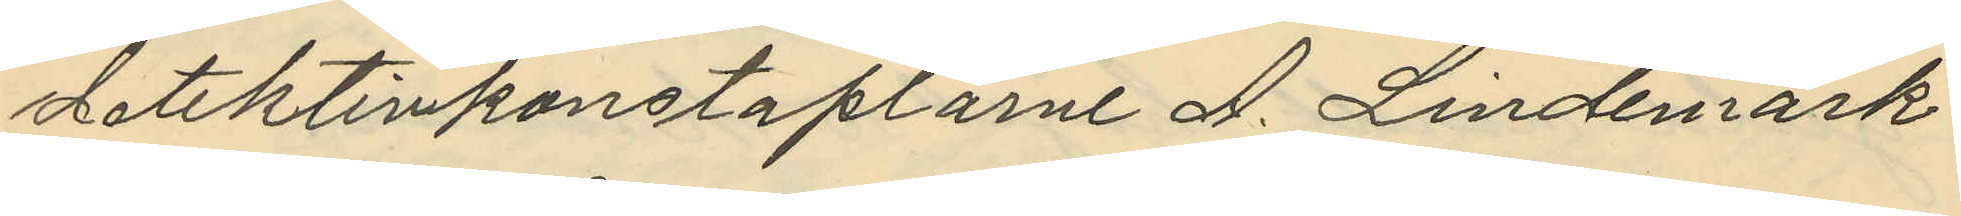detektivkonstaplarne A. Lindemark
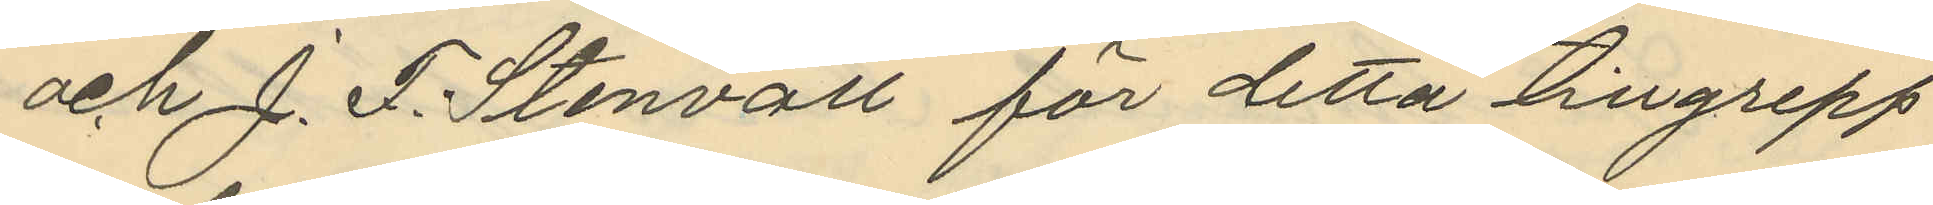och J. F. Stenvall för detta tillgrepp
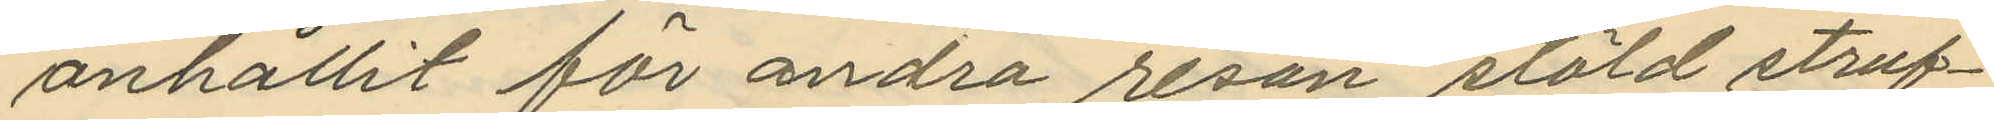anhållit för andra resan stöld straf¬
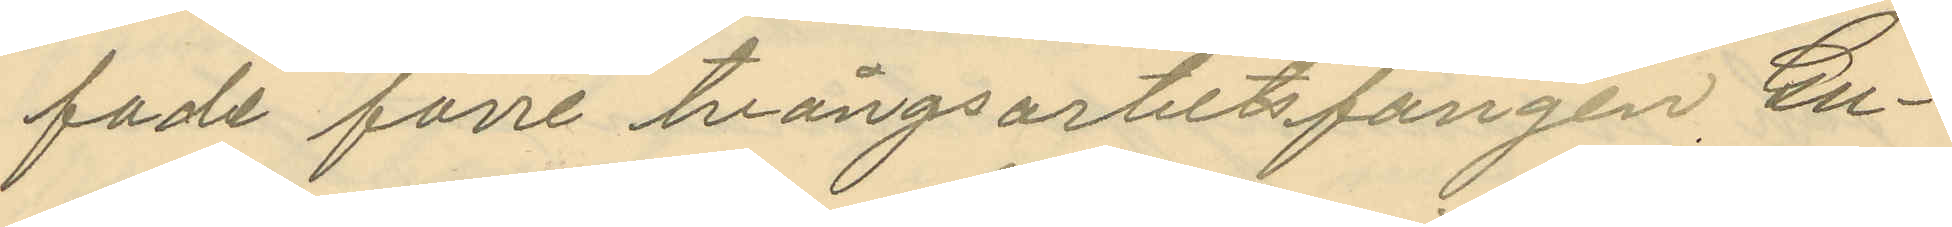fade förre tvångsarbetsfången, Gu¬
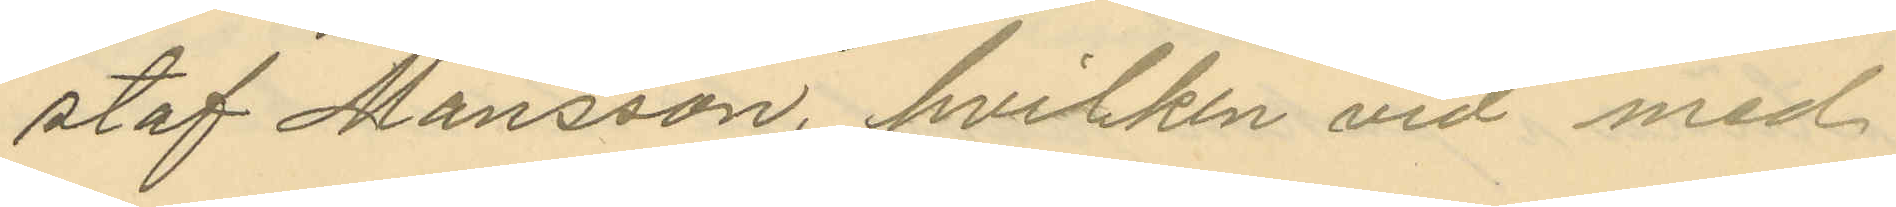staf Månsson, hvilken vid med
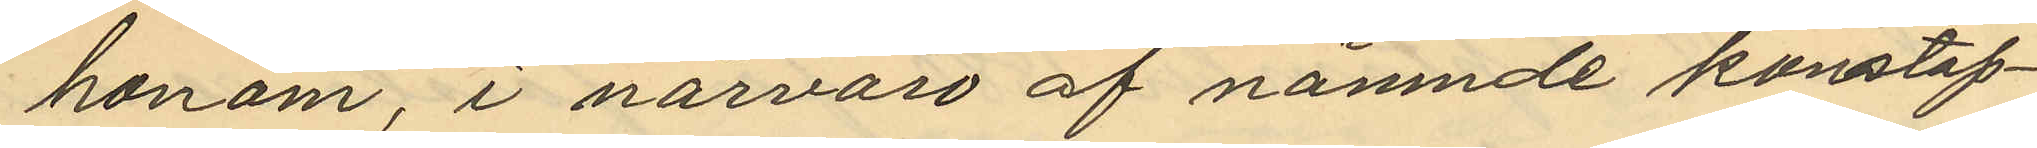honom, i närvaro af nämnde konstap¬
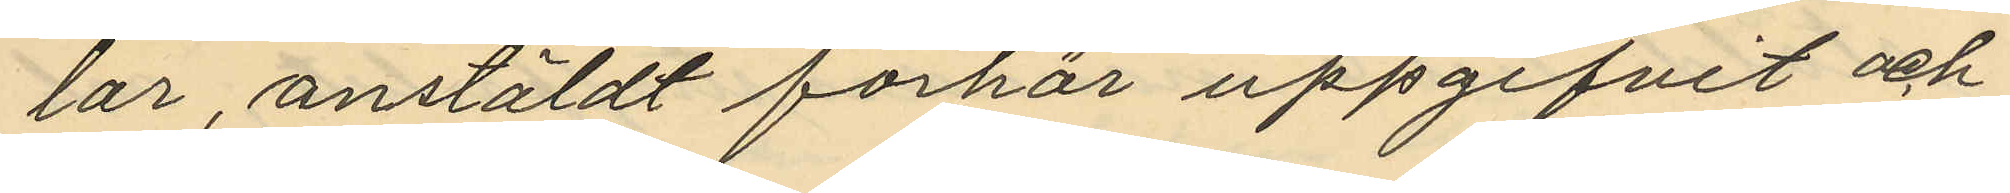lar, anstäldt förhör uppgifvit och
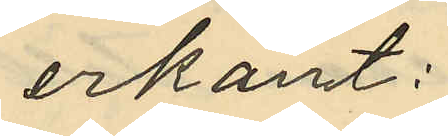erkänt:
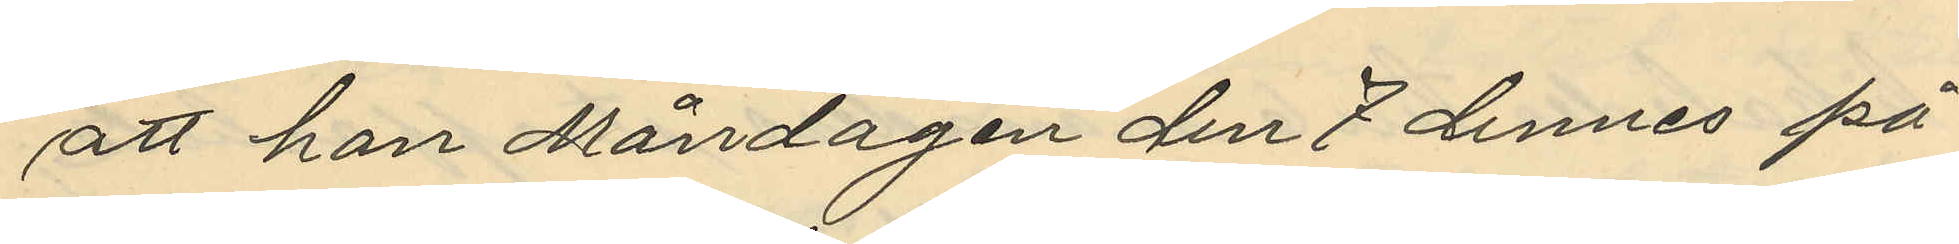att han Måndagen den 7 dennes på
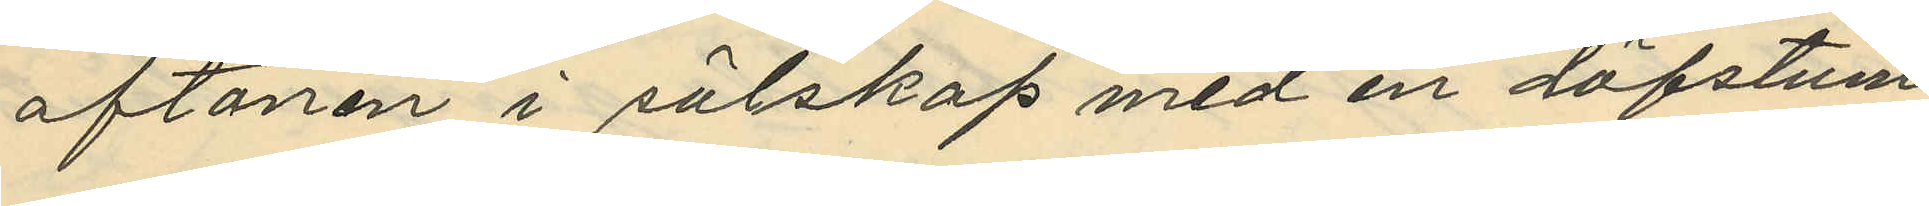aftonen i sälskap med en döfstum
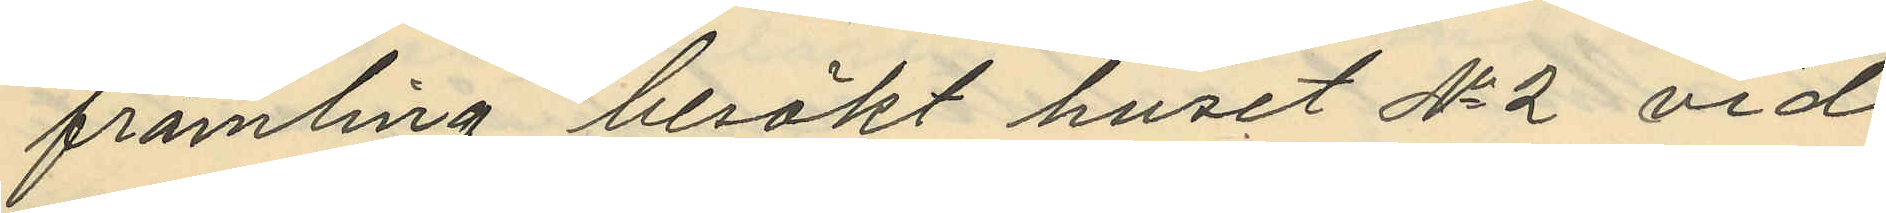främling besökt huset No 2 vid
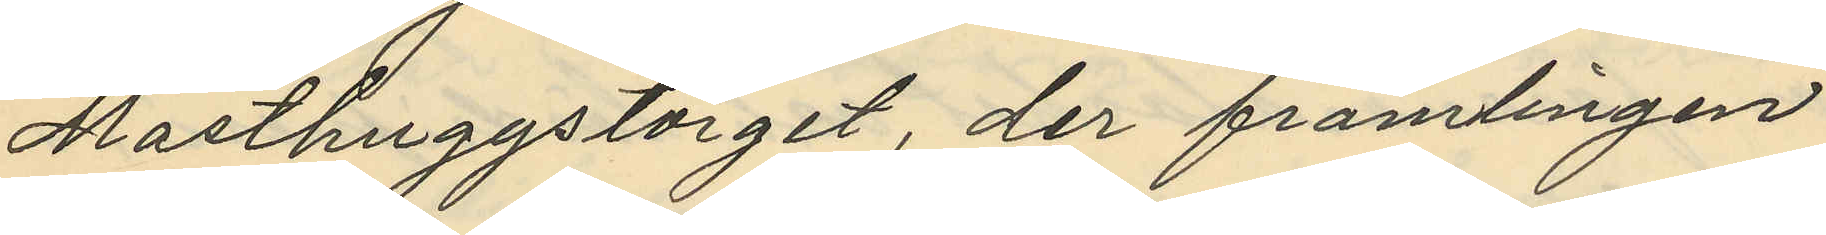Masthuggstorget, der främlingen
